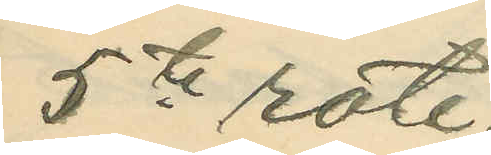5te rote;
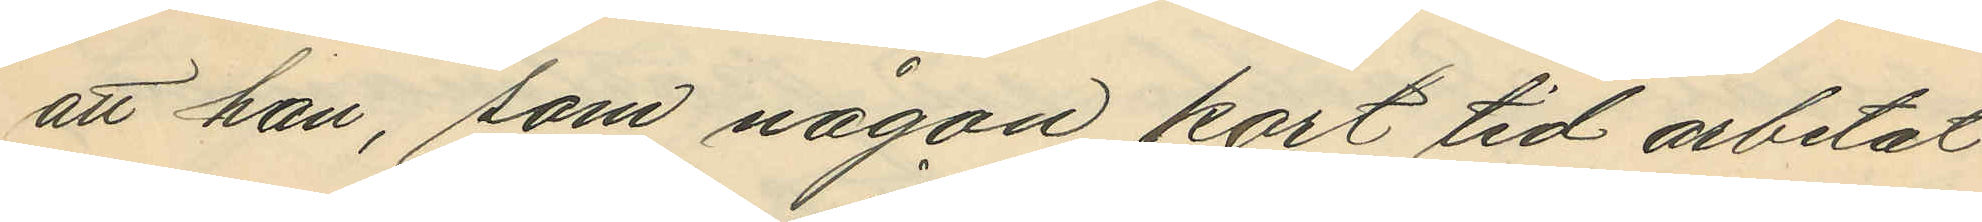att han, som någon kort tid arbetat
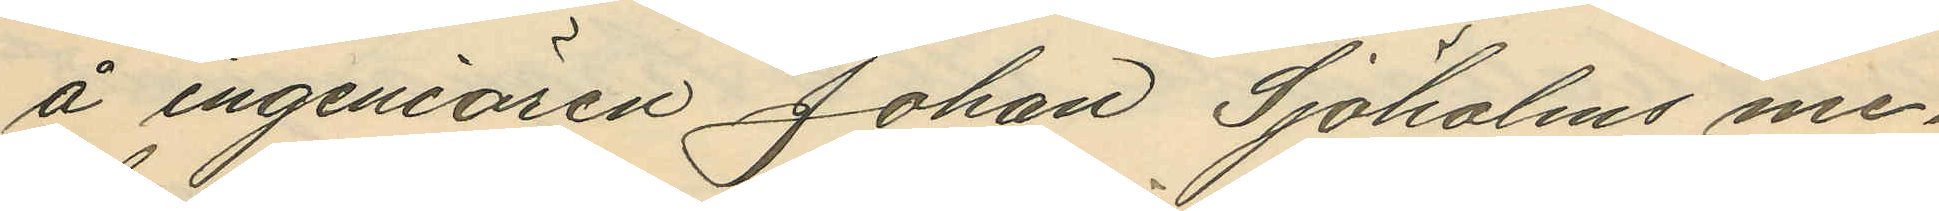å ingeniören Johan Sjöholms me¬
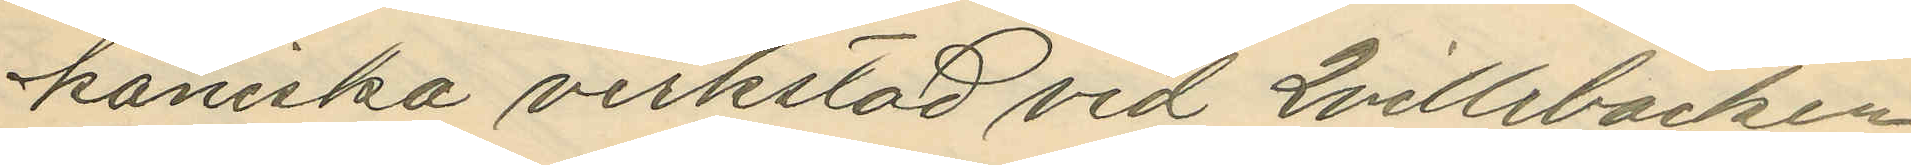kaniska verkstad vid Qvillebäcken
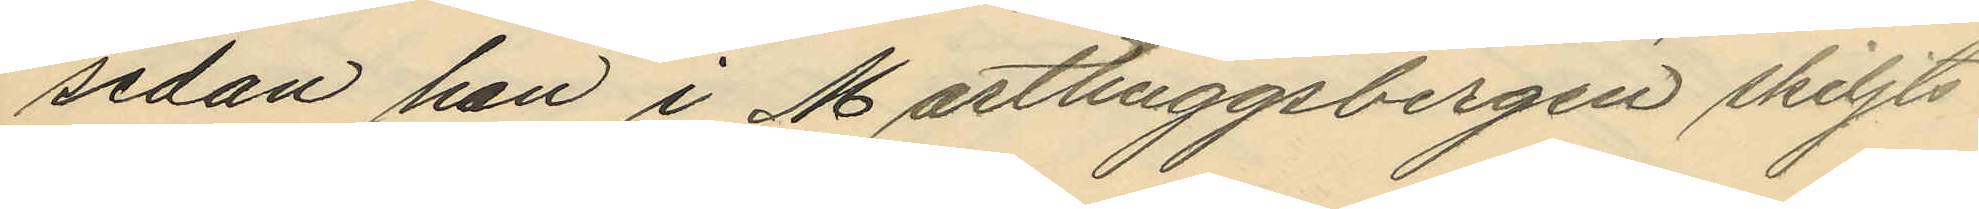sedan han i Masthuggsbergen skiljts
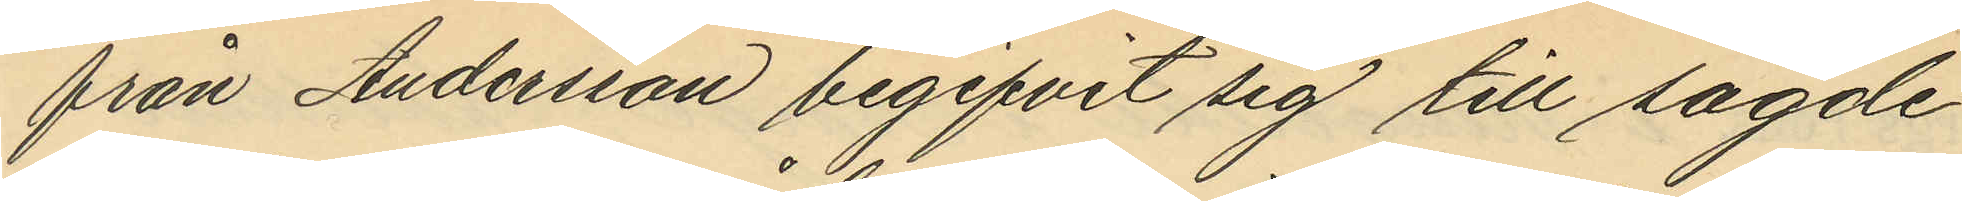från Andersson begifvit sig till sagde
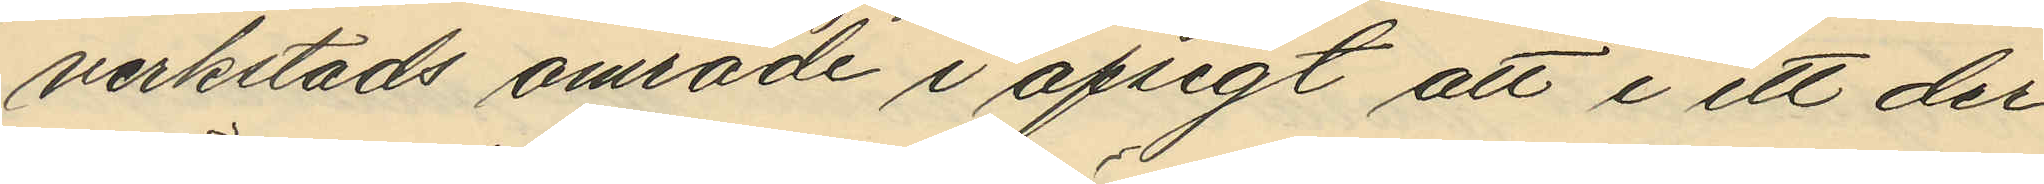verkstads område i afsigt att i ett der¬
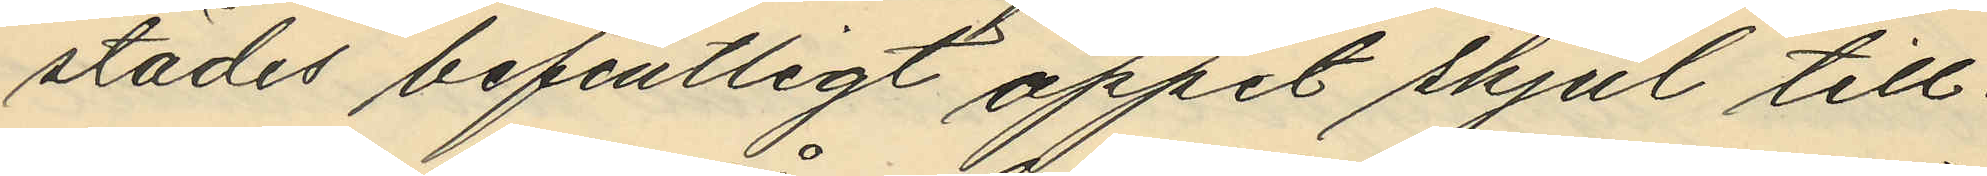städes befintligt öppet skjul till¬
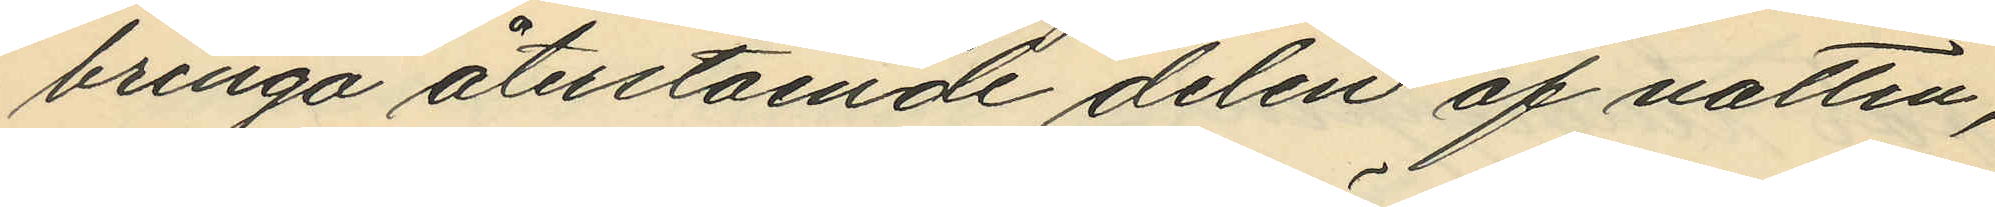bringa återstående delen af natten;
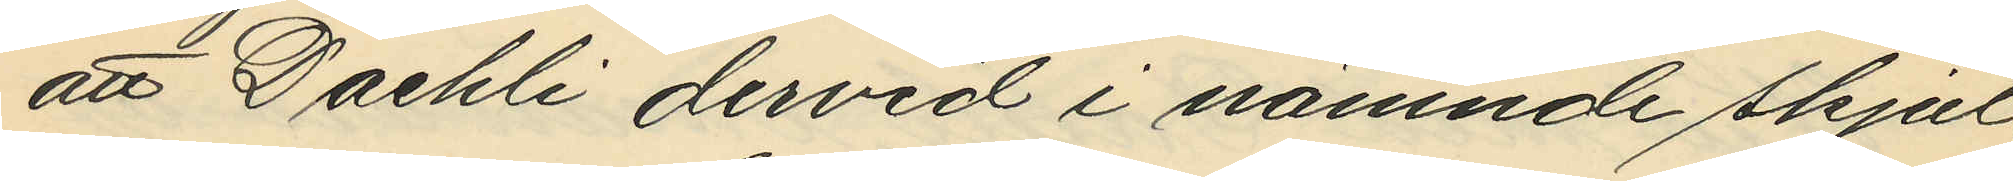att Daehli dervid i nämnde skjul,
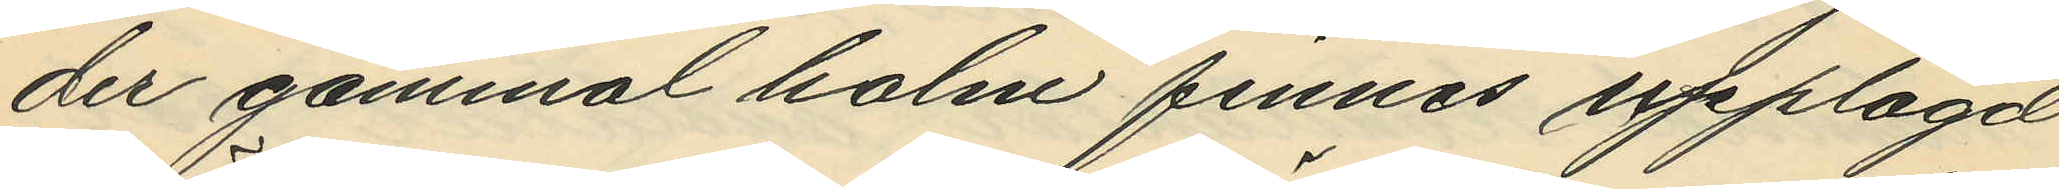der gammal halm finnes upplagd
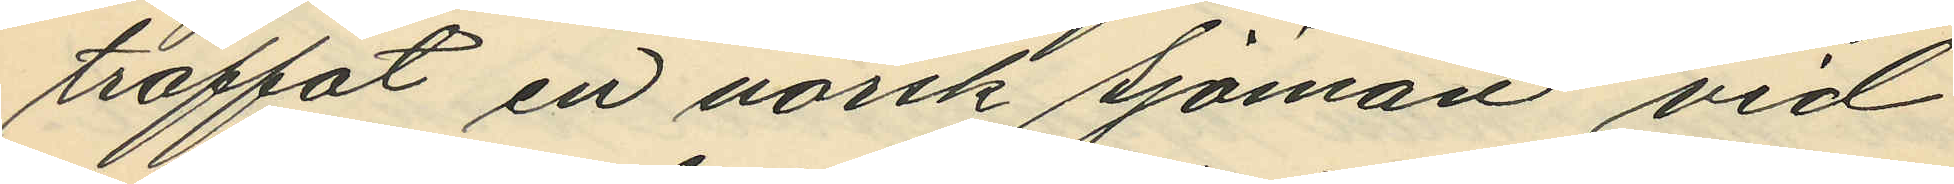träffat en norsk sjöman vid
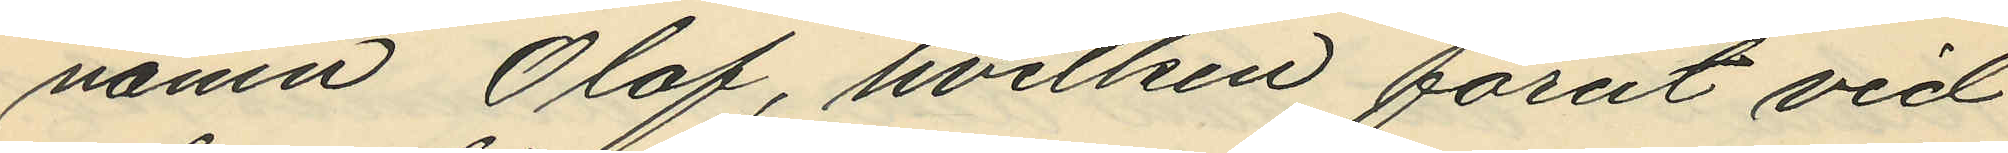namn Olof, hvilken förut vid
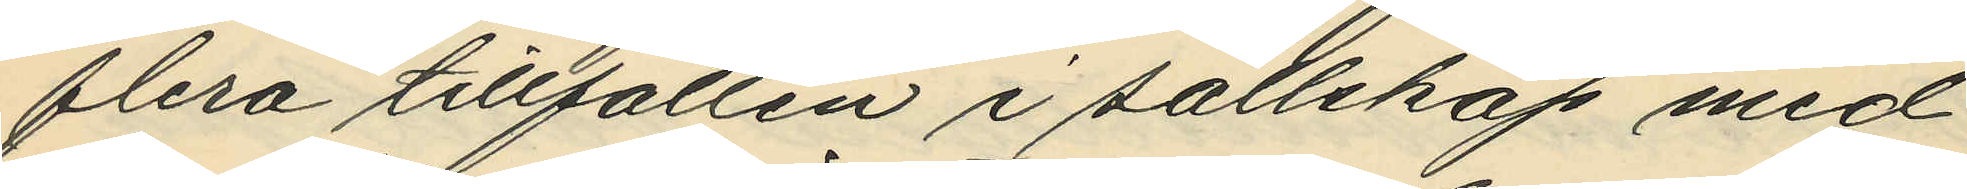flera tillfällen i sällskap med
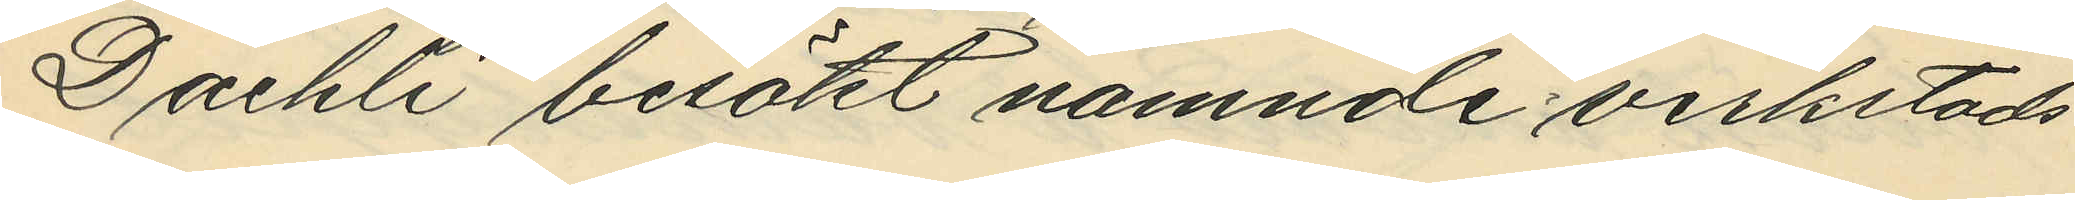Daehli besökt namnde verkstads
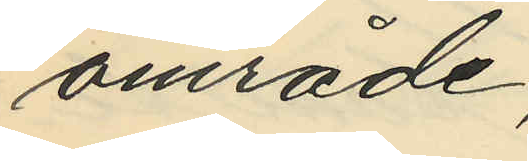område;
